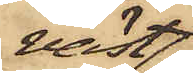väst¬
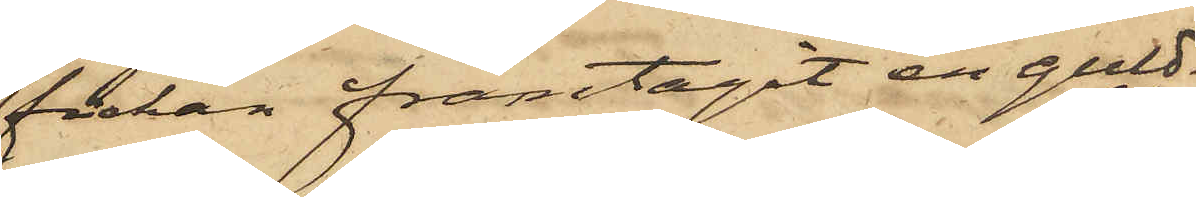fickan framtagit en guld¬
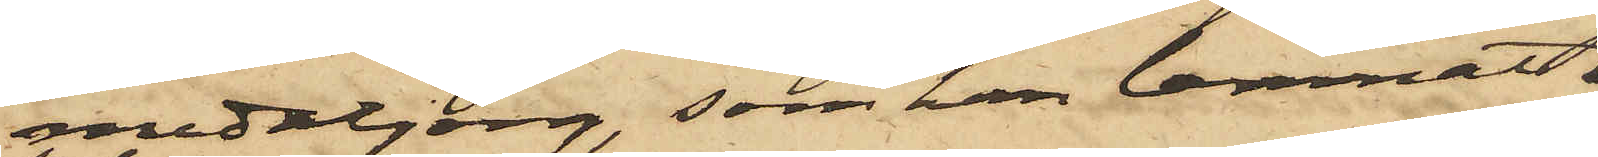medaljong, som han lemnat
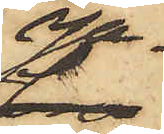Ja¬
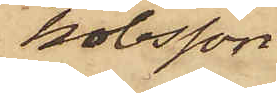kobsson;
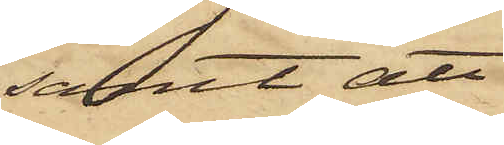samt att
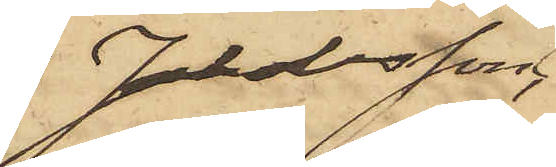Jakobsson,
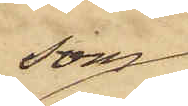som
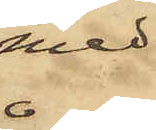med
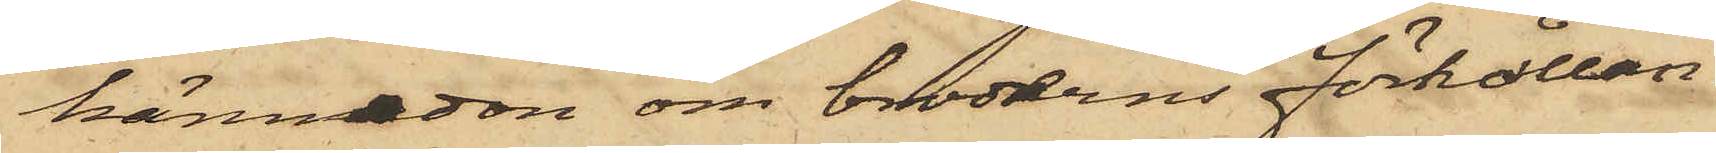kännedom om broderns förhållan¬
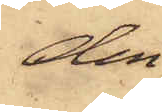den,
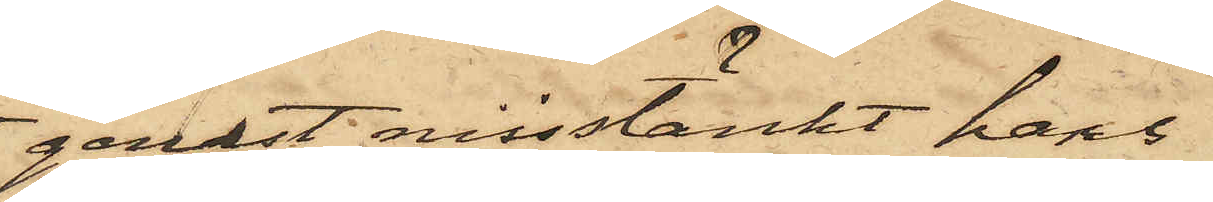genast misstänkt hans
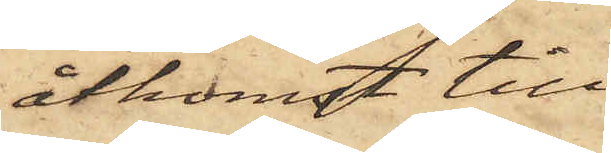åtkomst till
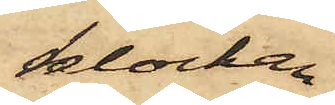klockan
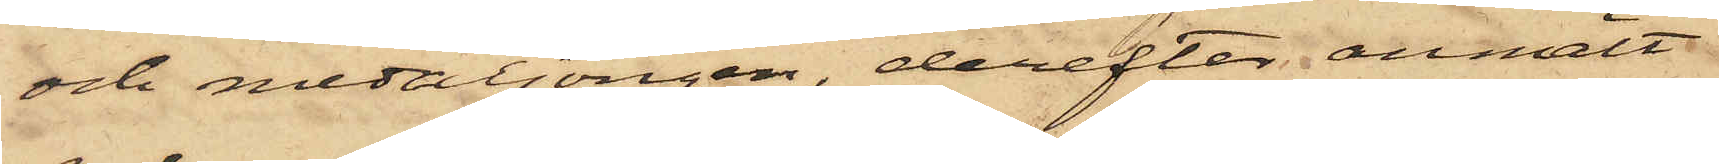och medaljongen, derefter anmält
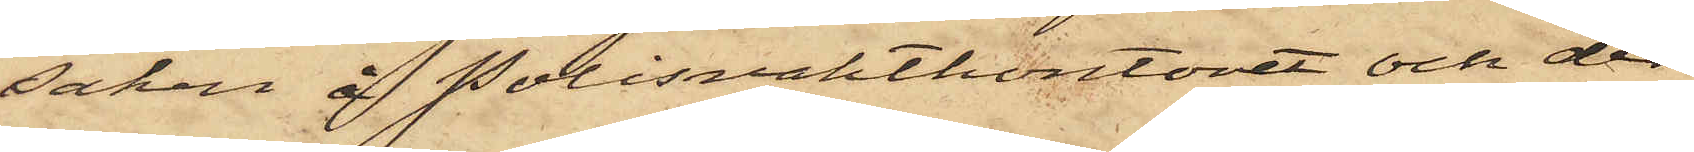saken å Polisvaktkontoret och der
